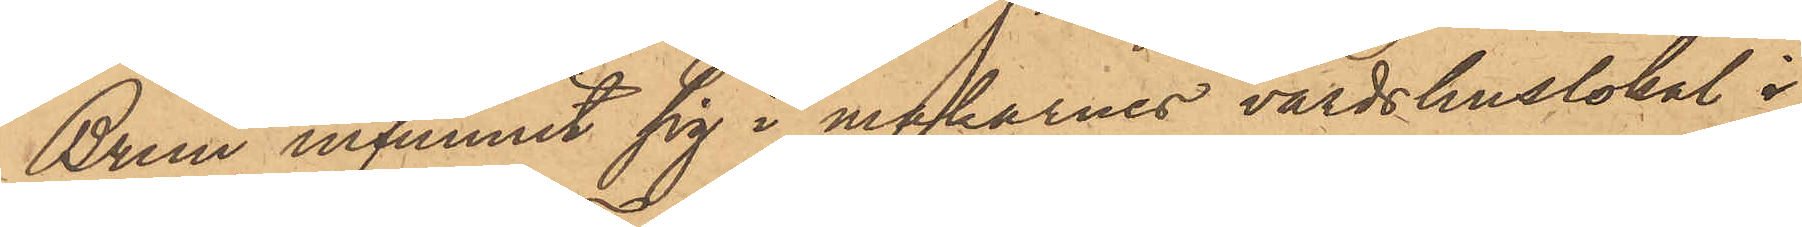Brun infunnit sig i makarnes värdshuslokal i
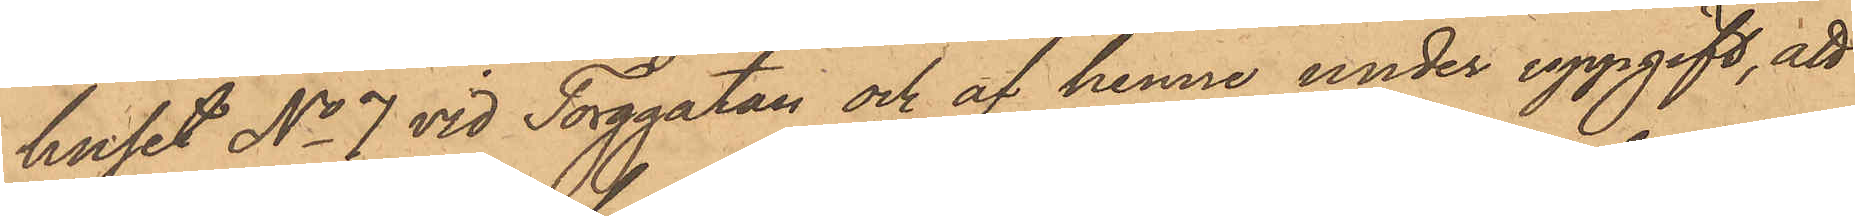huset No 7 vid Torggatan och af henne under uppgift, att
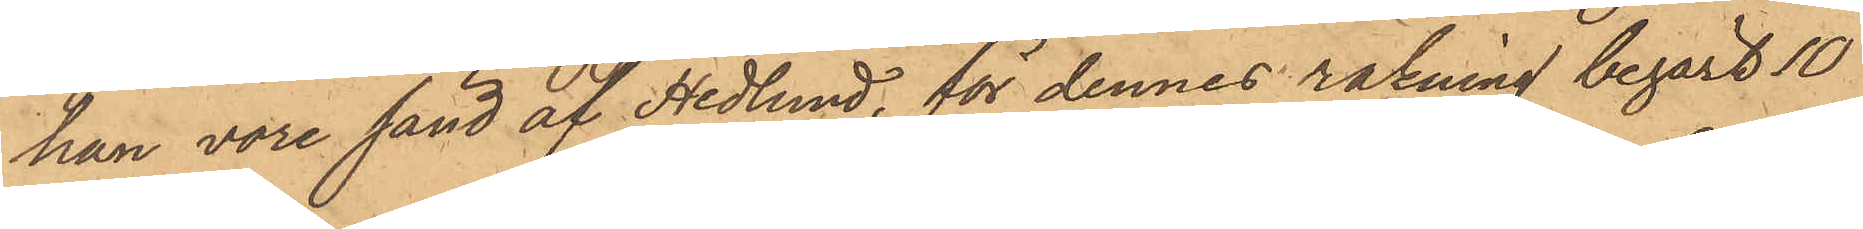han vore sänd af Hedlund, för dennes räkning begärt 10
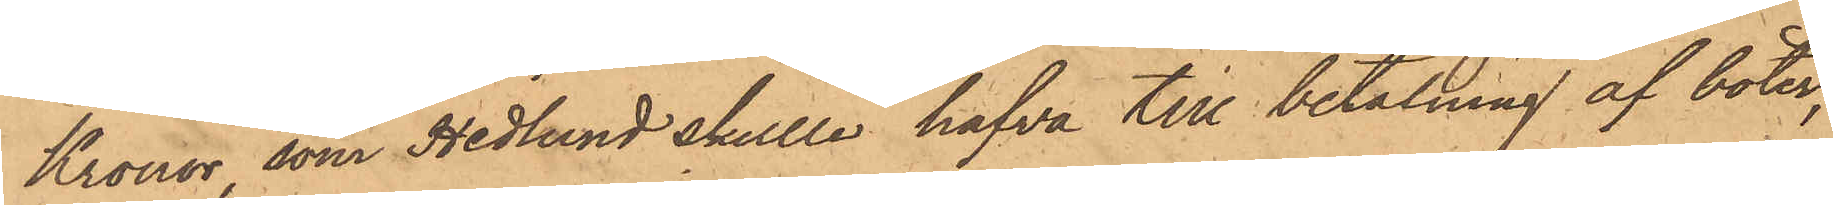Kronor, som Hedlund skulle hafva till betalning af böter,
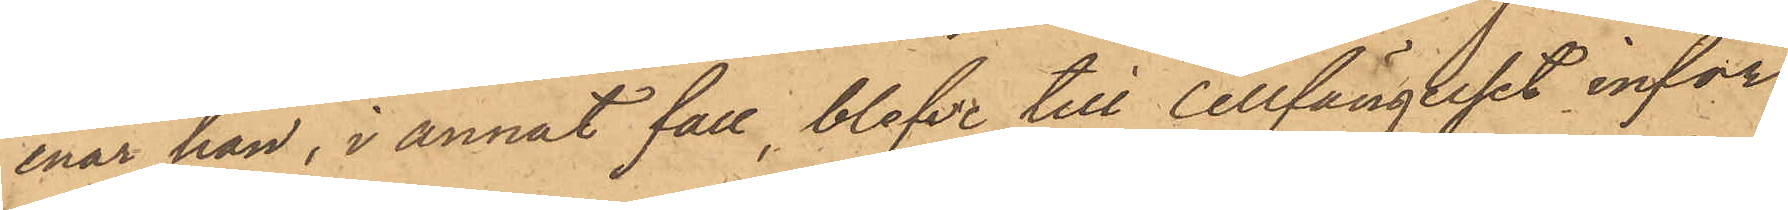enär han, i annat fall, blefve till cellfängelset inför¬
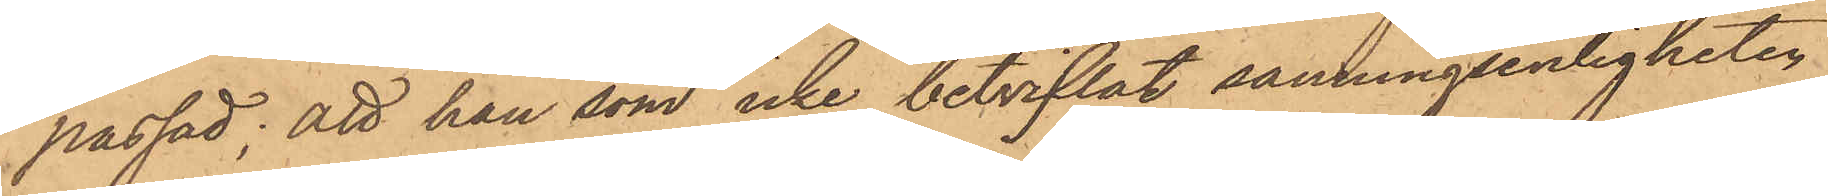passad; att han som icke betviflat sanningsenligheten
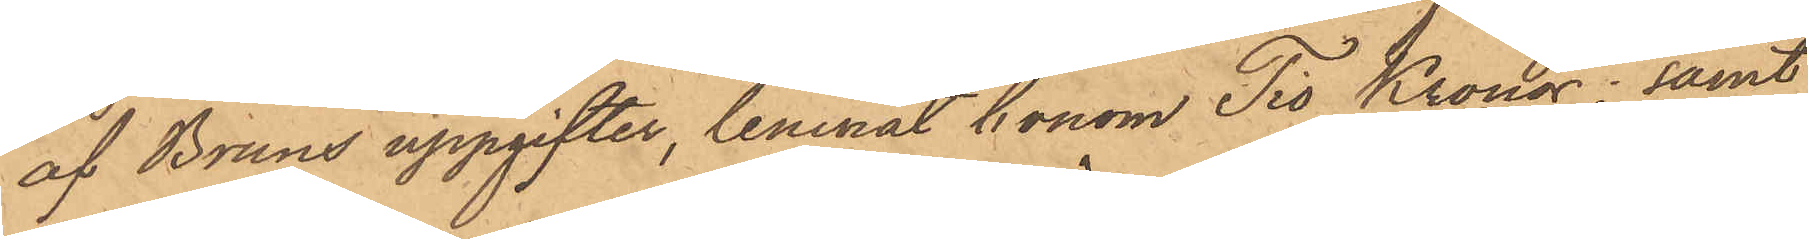af Bruns uppgifter, lemnat honom Tio Kronor; samt
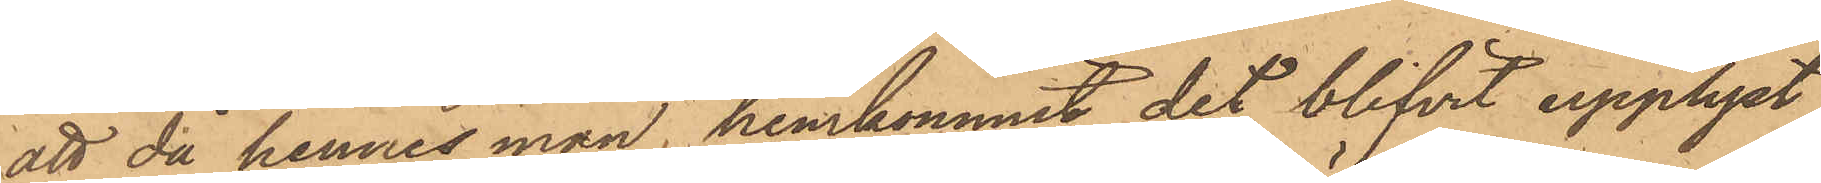att då hennes man, hemkommit, det blifvit upplyst,
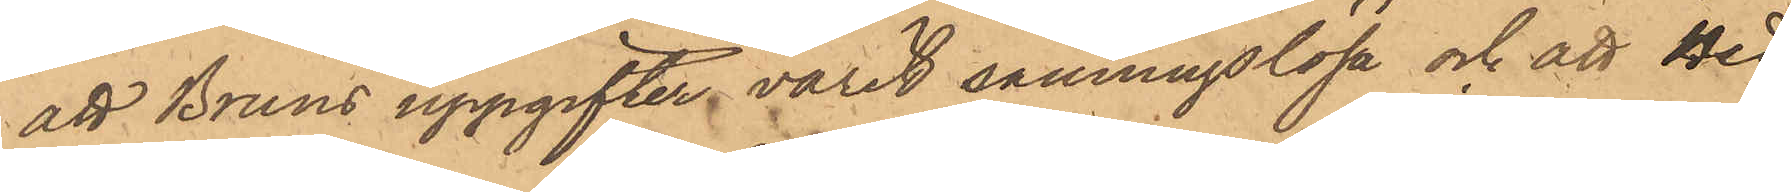att Bruns uppgifter varit sanningslösa och att Hed¬
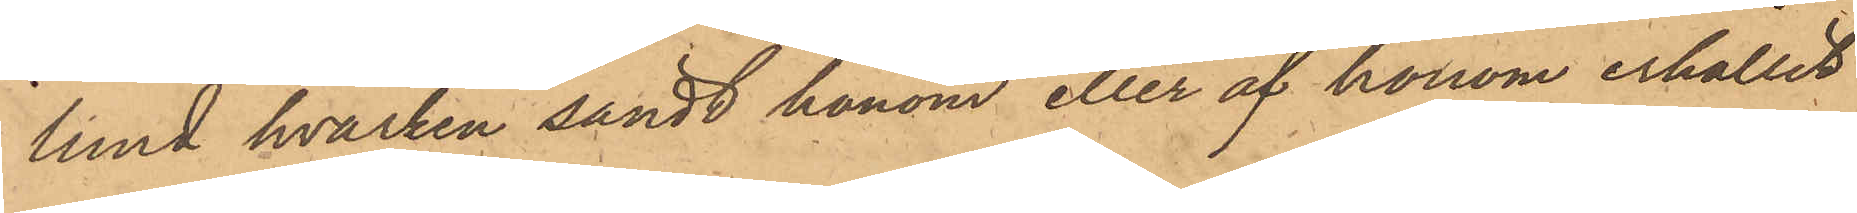lund hvarken sändt honom eller af honom erhållit
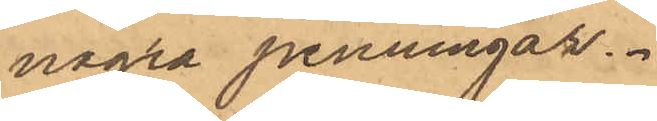några penningar.
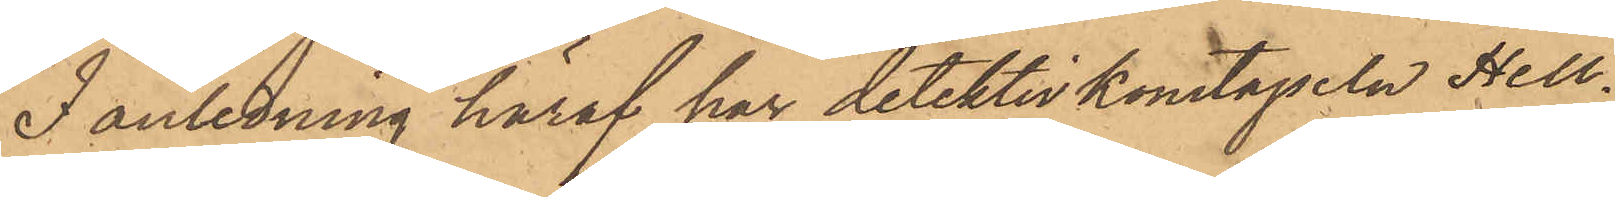I anledning häraf har detektivkonstapeln Hell¬
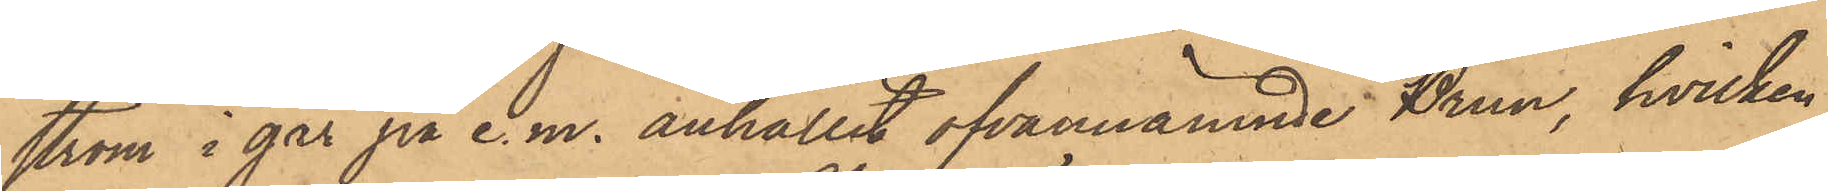ström i går på e. m. anhållit ofvannämnde Brun, hvilken
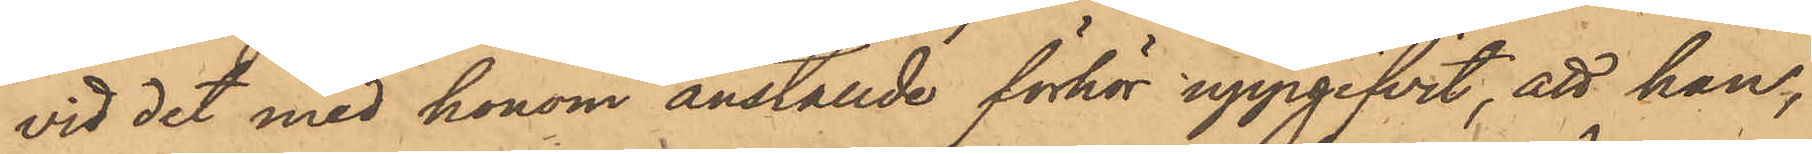vid det med honom anställde förhör uppgifvit, att han,
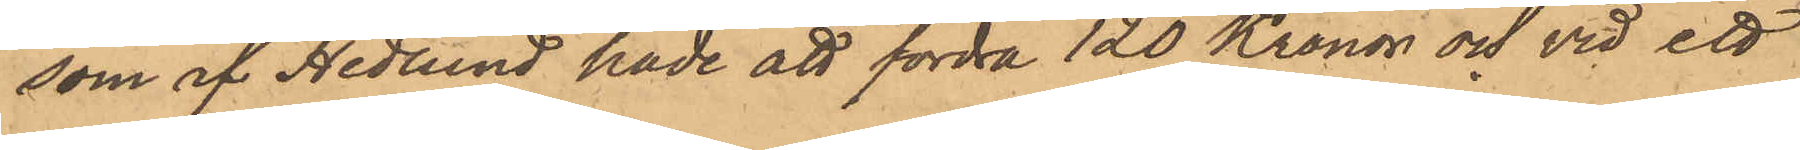som af Hedlund hade att fordra 120 Kronor och vid ett
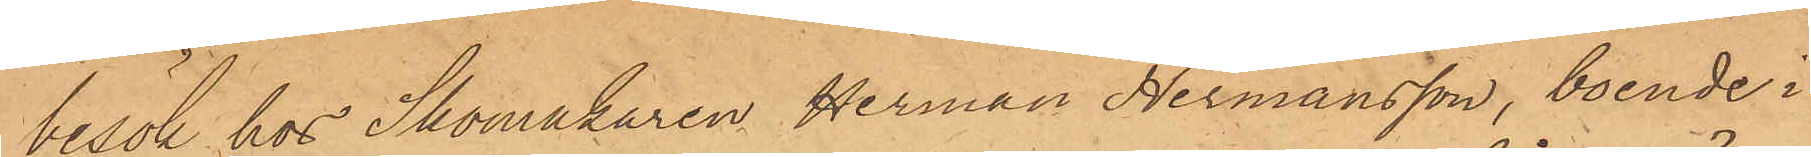besök hos Skomakaren Herman Hermansson, boende i
